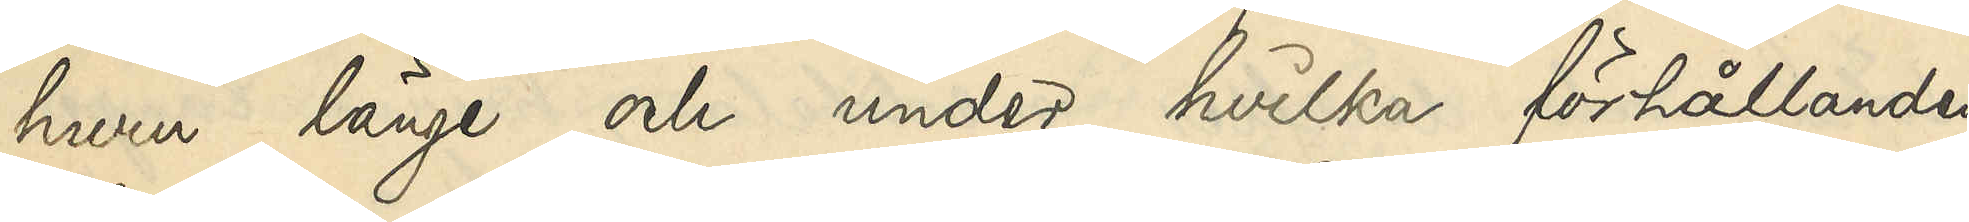huru länge och under hvilka förhållanden
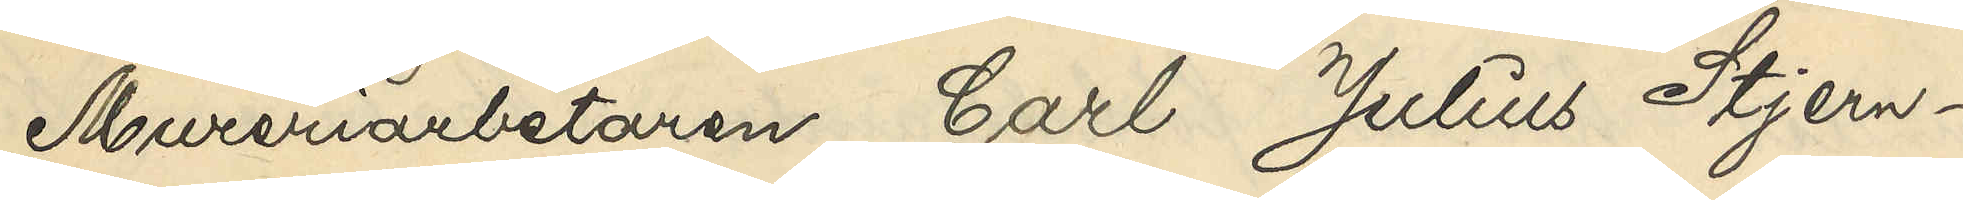Mureriarbetaren Carl Julius Stjern¬
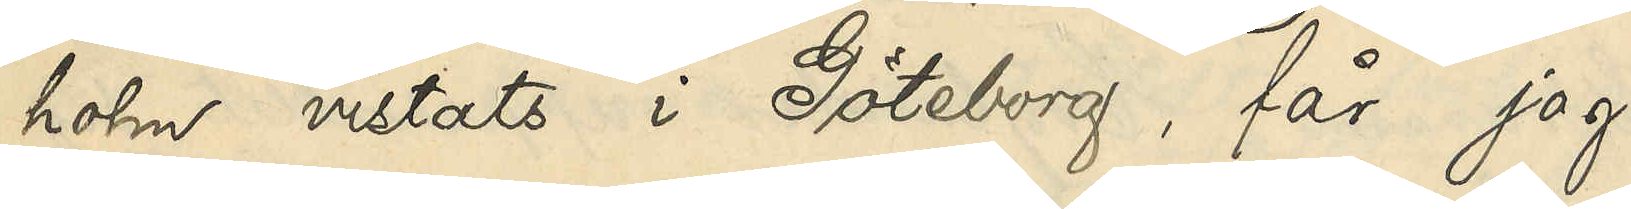holm vistats i Göteborg, får jag
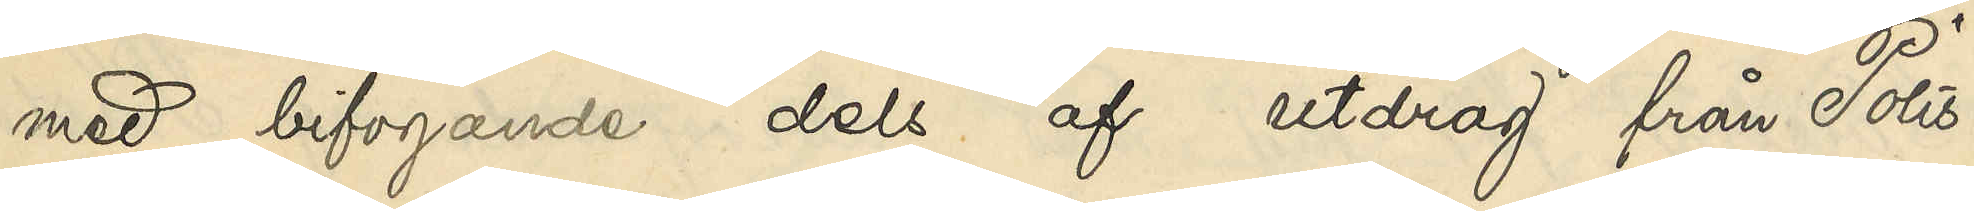med bifogande dels af utdrag från Polis¬
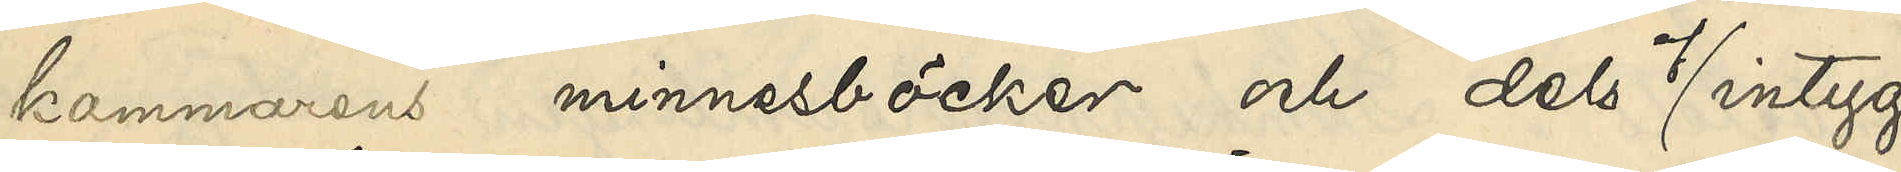kammarens minnesböcker och dels i intyg
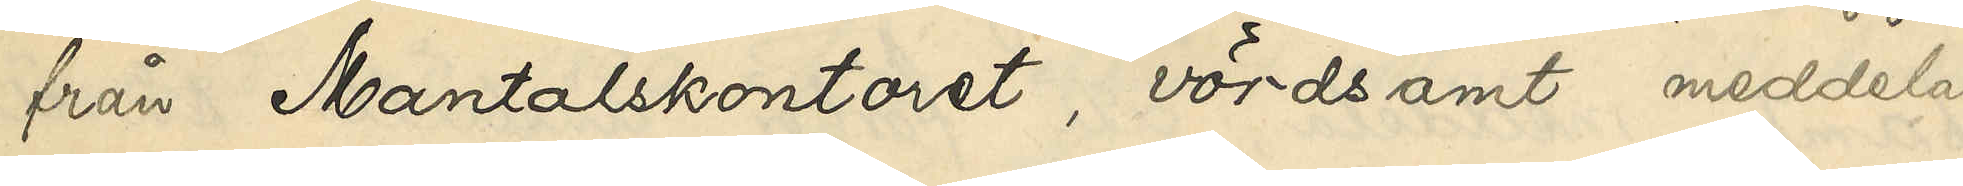från Mantalskontoret, vördsamt meddela
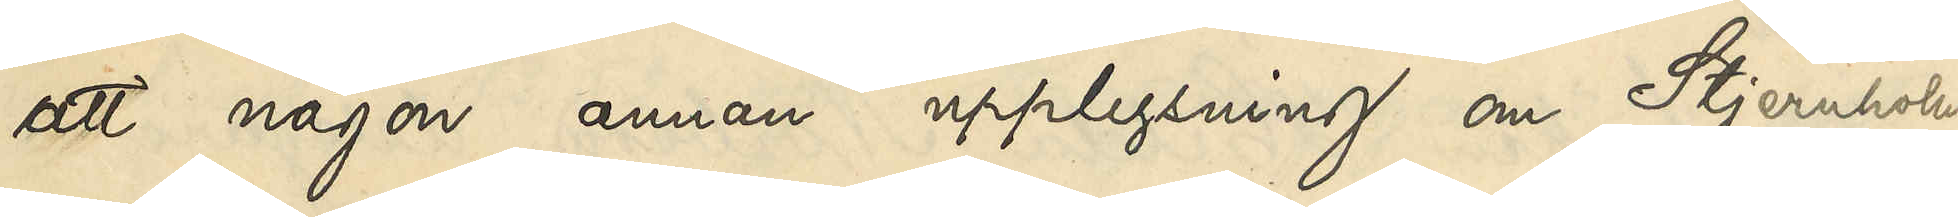att någon annan upplysning om Stjernholm
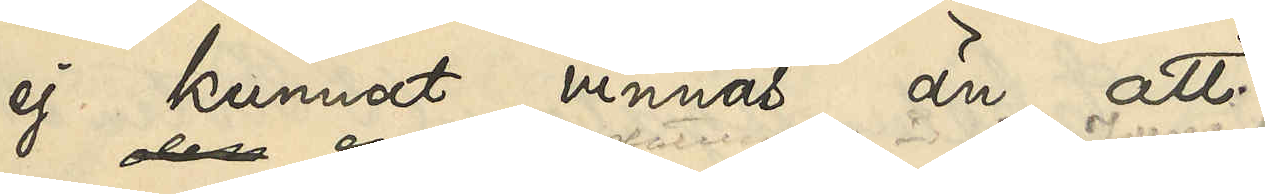ej kunnat vinnas än att,
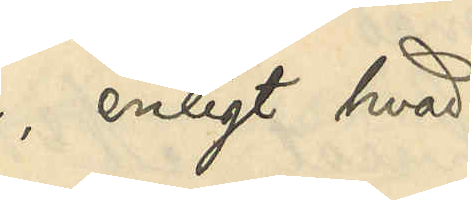enligt hvad
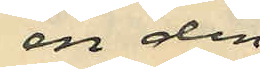en den
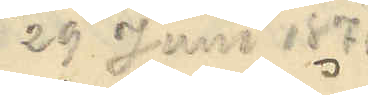29 Juni 1876
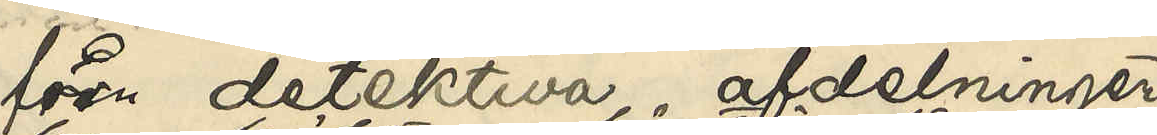från detektiva afdelningen
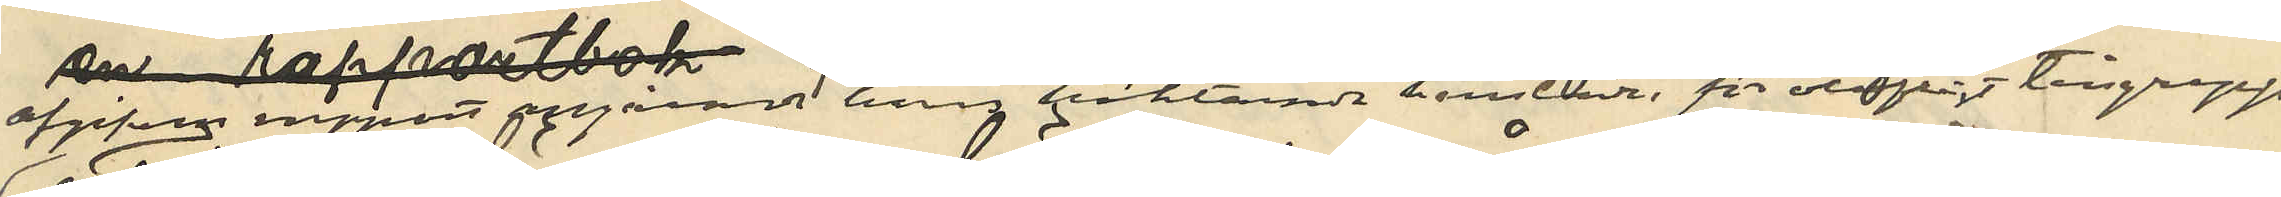afgifven rapport angående hans häktande härstädes, för olofligt tillgrepp
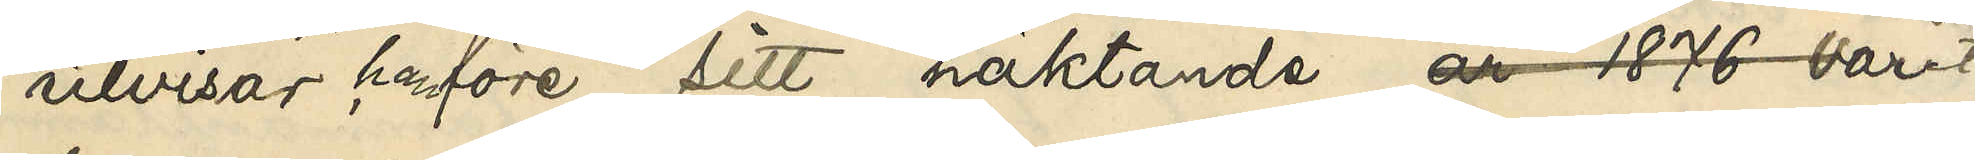utvisar han före sitt häktande år 1876 varit
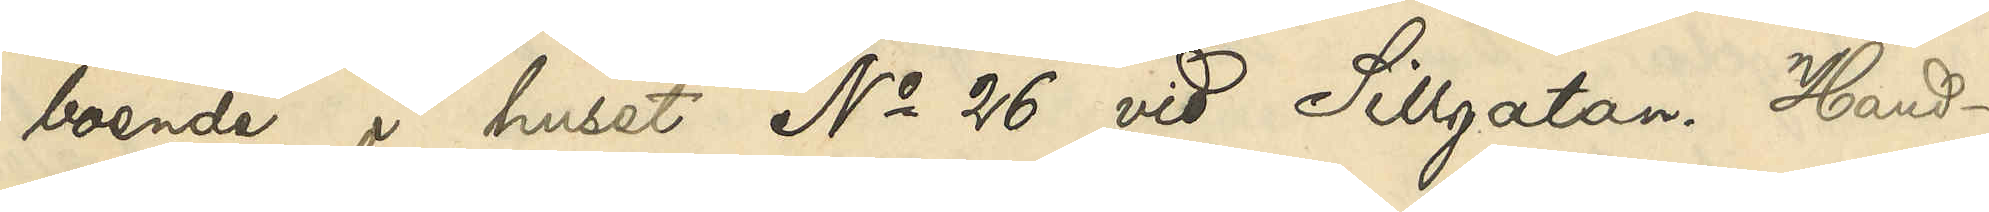boende i huset No 26 vid Sillgatan. Hand¬
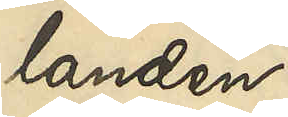landen
